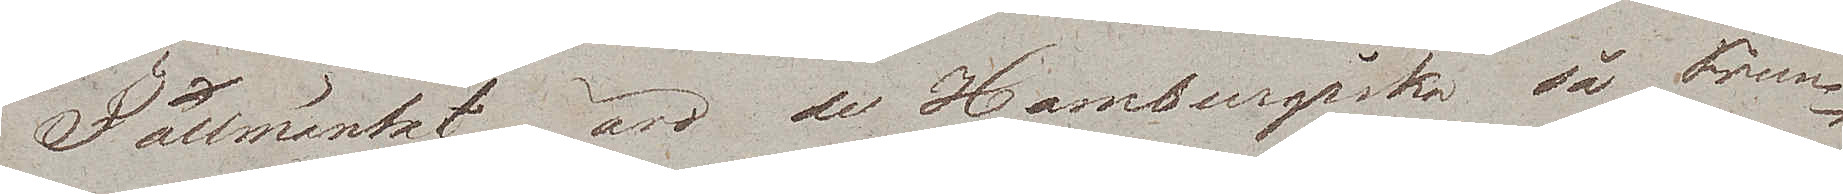I allmänhet äro de Hamburgiska så Frun¬
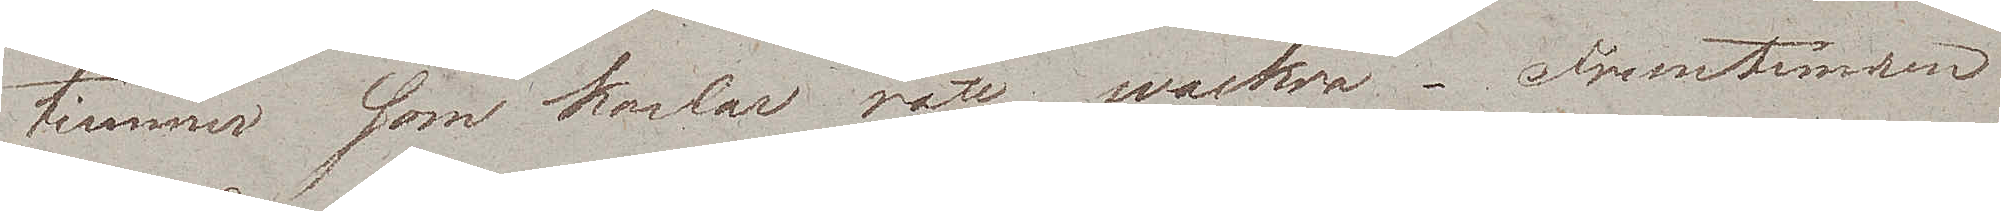timmer som karlar rätt wackra. Fruntimren
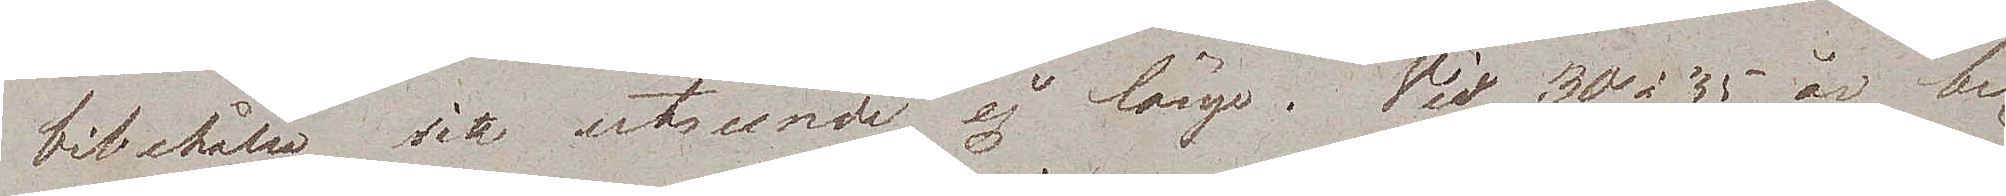bibehålla sitt utseende ej länge. Vid 30 à 35 år be¬
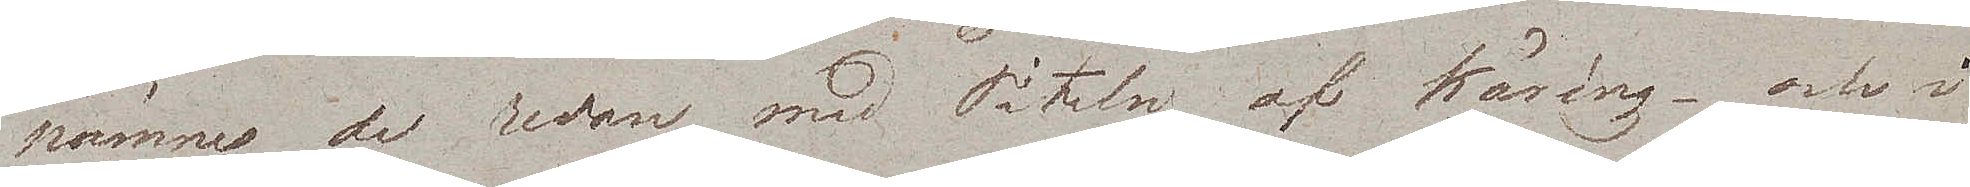nämnes de redan med Titeln af käring – och i
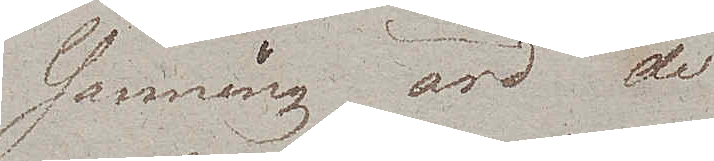sanning äro de
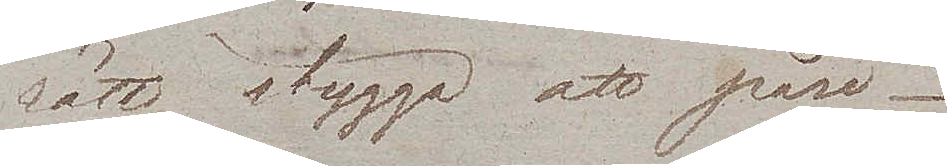rätt stygga att påse.
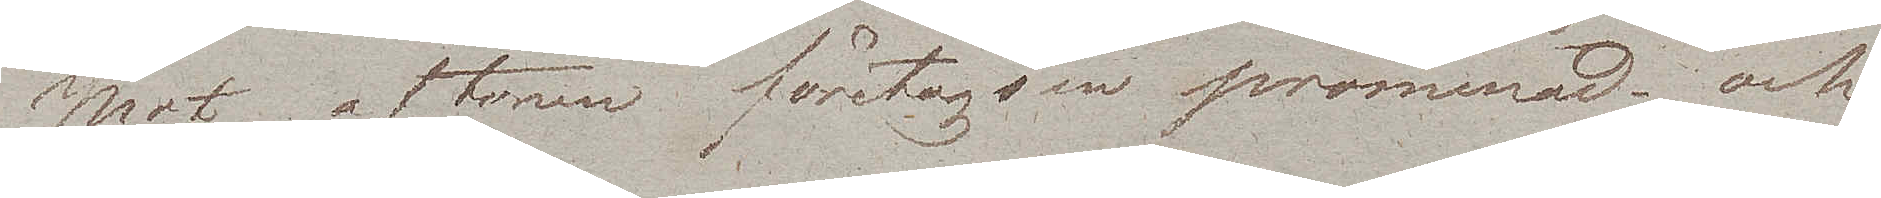Mot aftonen företogs en promenad och
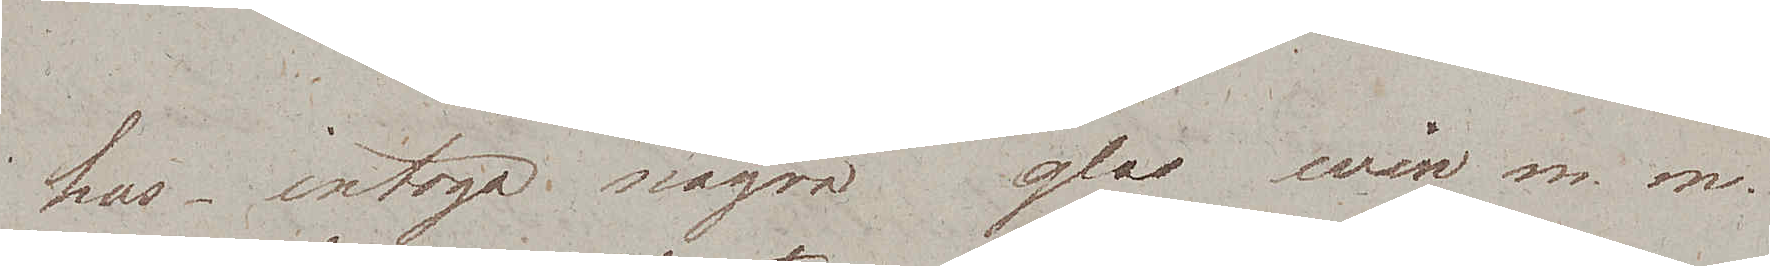hus, intoga några glas win m.m.
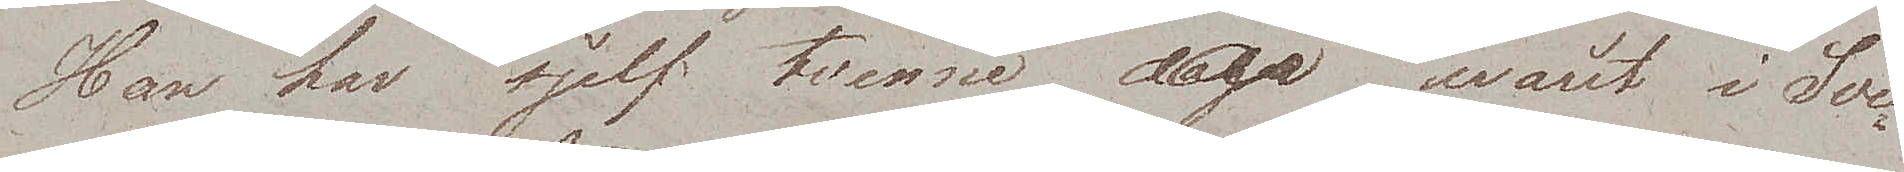Han har sjelf tvenne år warit i Sve¬
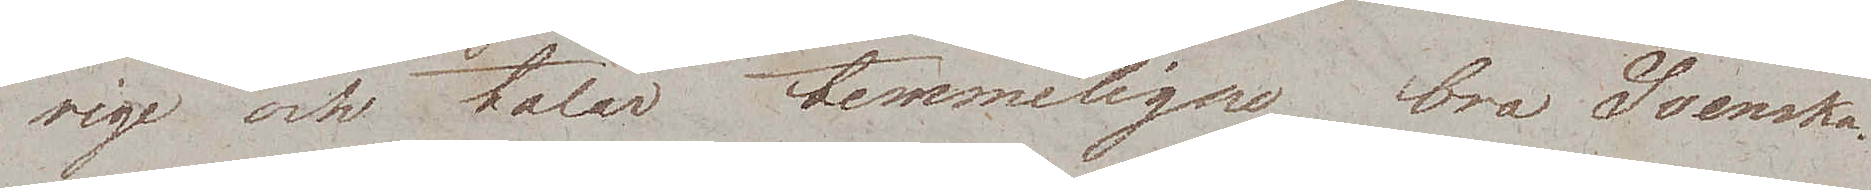rige och talar temmeligen bra Svenska.
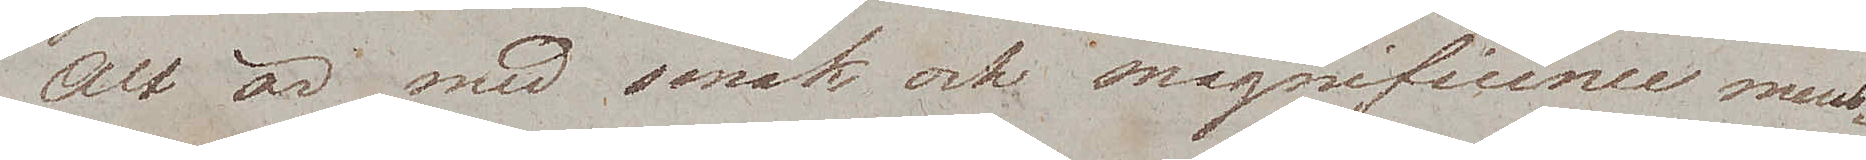Alt är med smak och magnificence meub¬
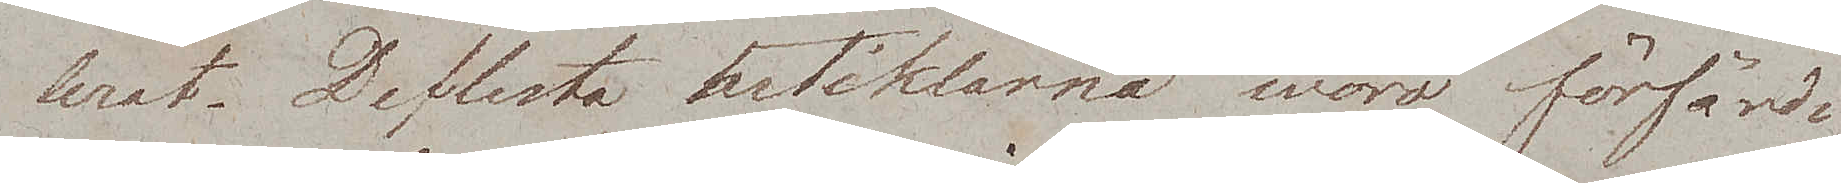lerat. De flesta artiklarna woro förfärdi¬
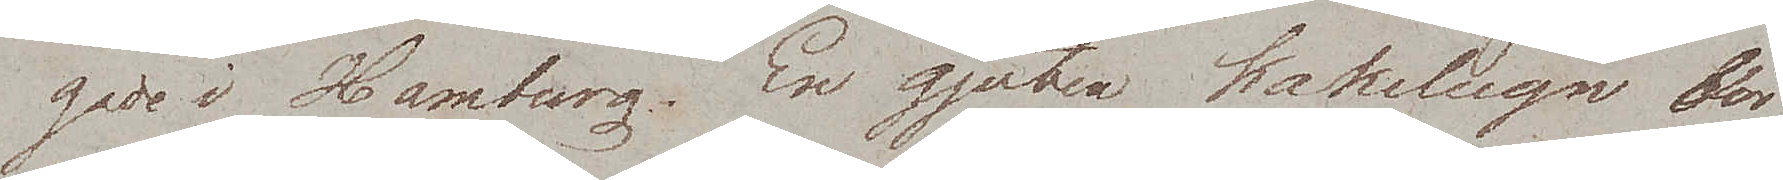gade i Hamburg. En gjuten kakelugn bör
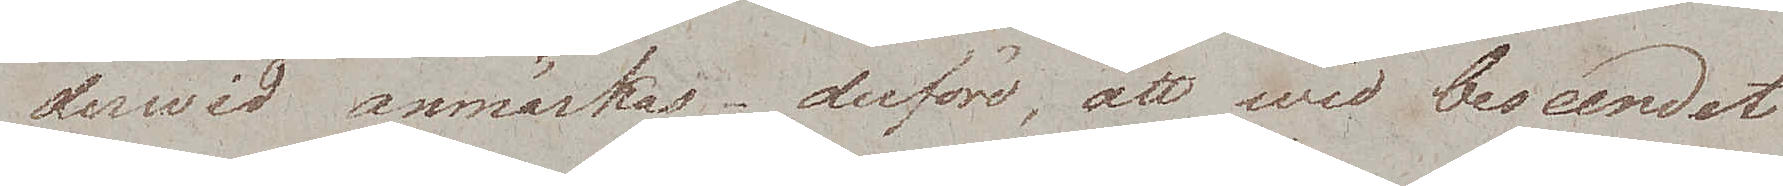derwid anmärkas – derföre, att wid beseendet
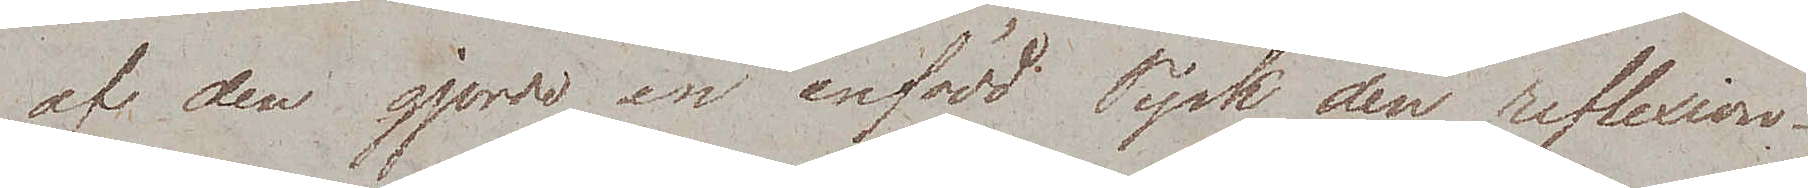af den gjorde en infödd Tysk den reflexion¬
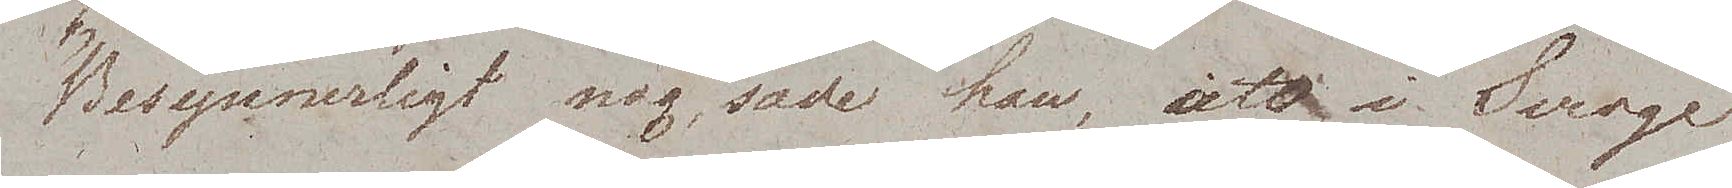Besynnerligt nog, sade han, att i Sverge
